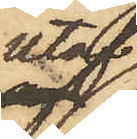utaf
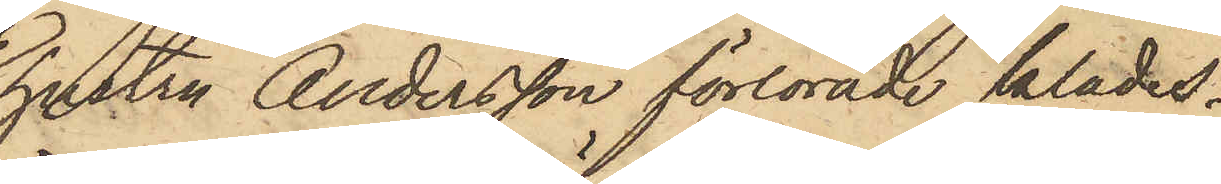hustru Andersson förlorade klädes¬
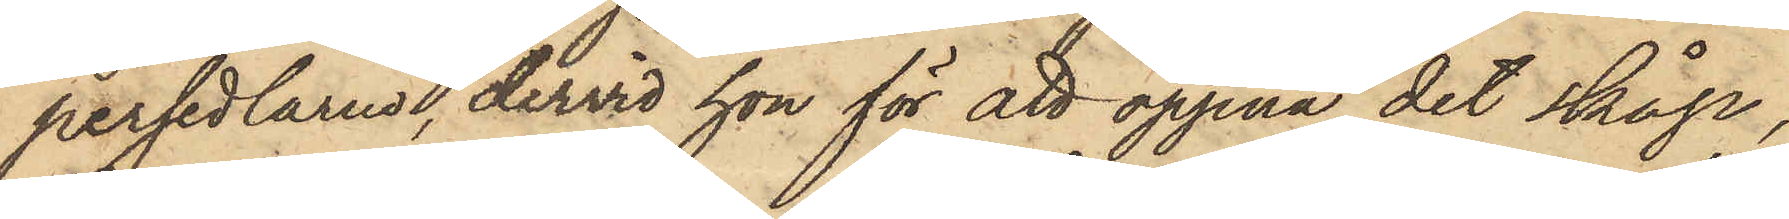persedlarna, dervid hon för att öppna det skåp,
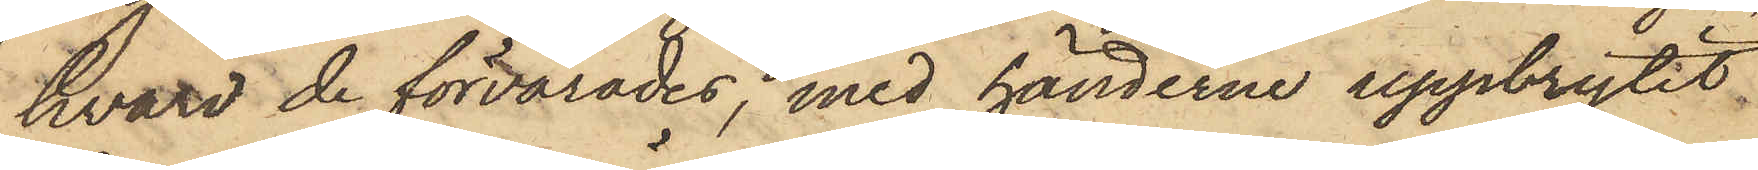hvari de förvarades, med händerna uppbrytit
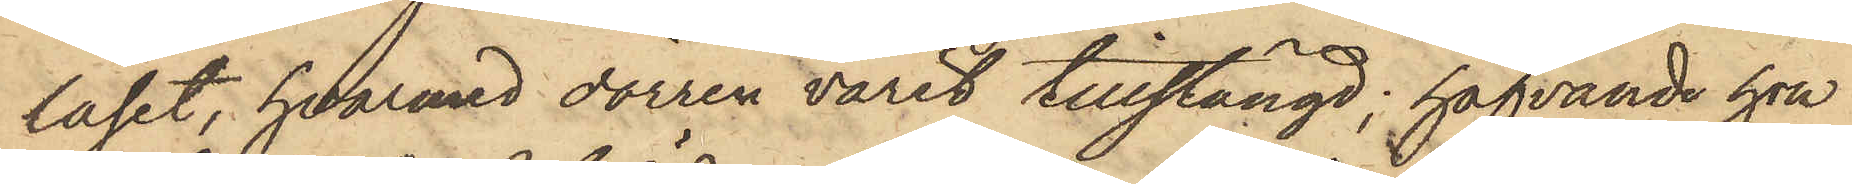låset, hvarmed dörren varit tillstängd; hafvande hon
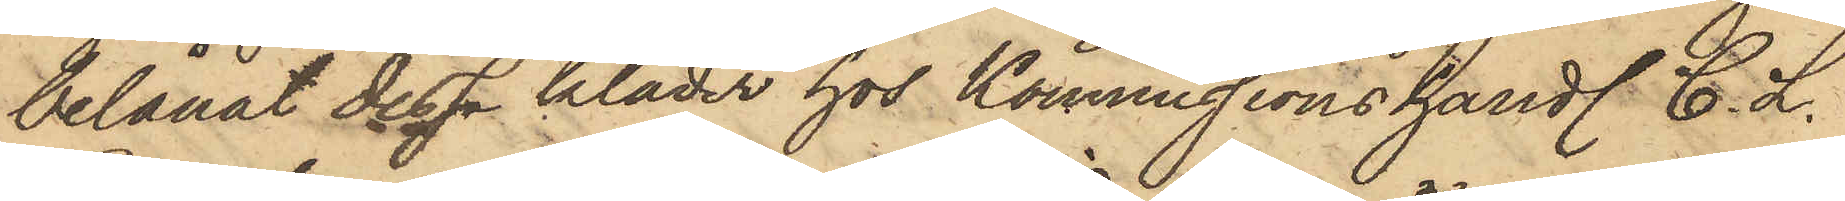belånat dessa kläder hos Kommissionshandl. C. L.
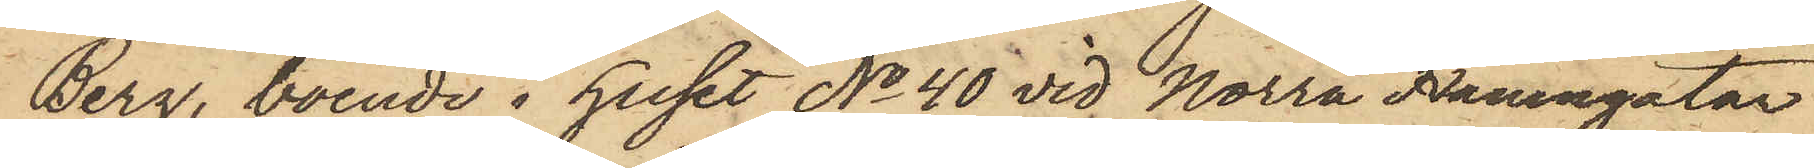Berg, boende i huset No 40 vid Norra Hamngatan,
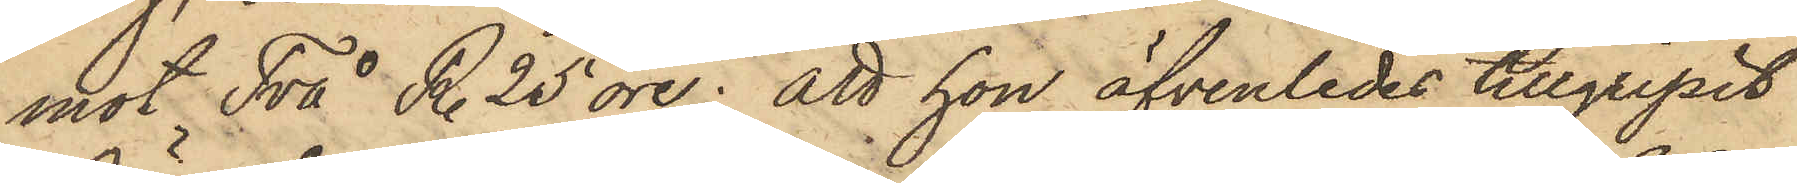mot Två R. 25 öre; att hon äfvenledes tillgripit
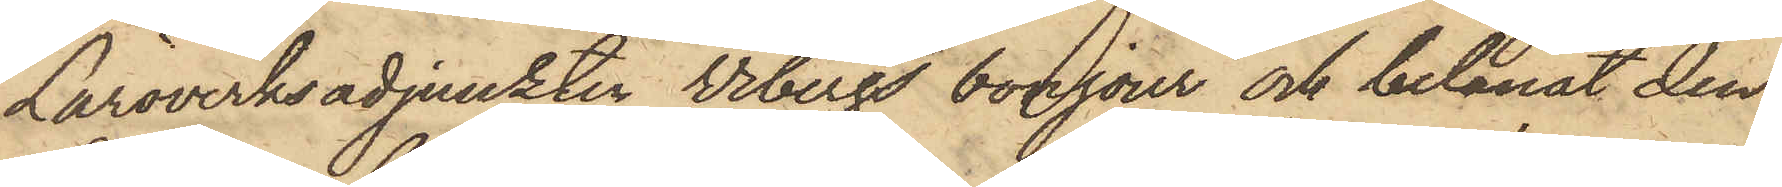Läroverksadjunkten Vibergs bonjour och belånat den¬
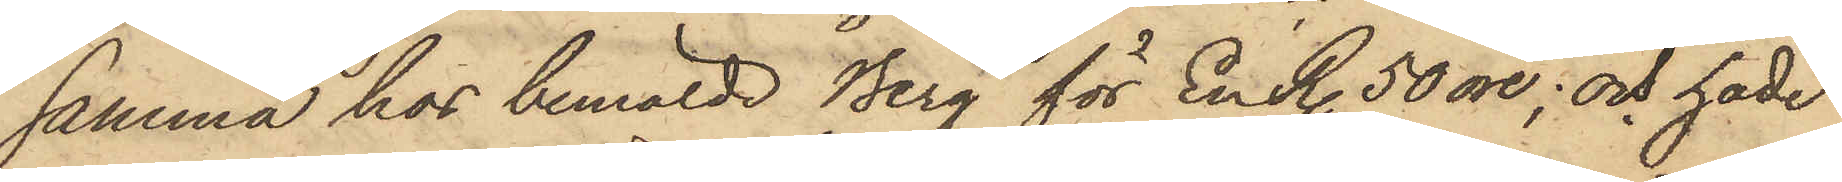samma hos bemälde Berg för En R. 50 öre; och hade
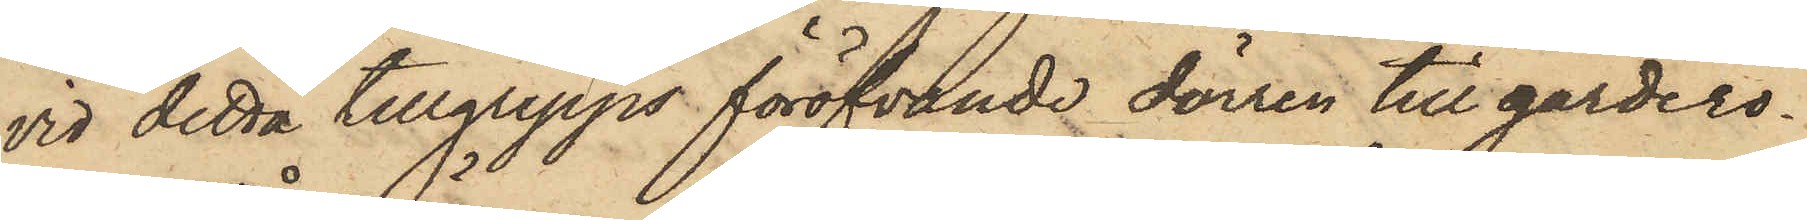vid detta tillgrepps föröfvande dörren till gardero¬
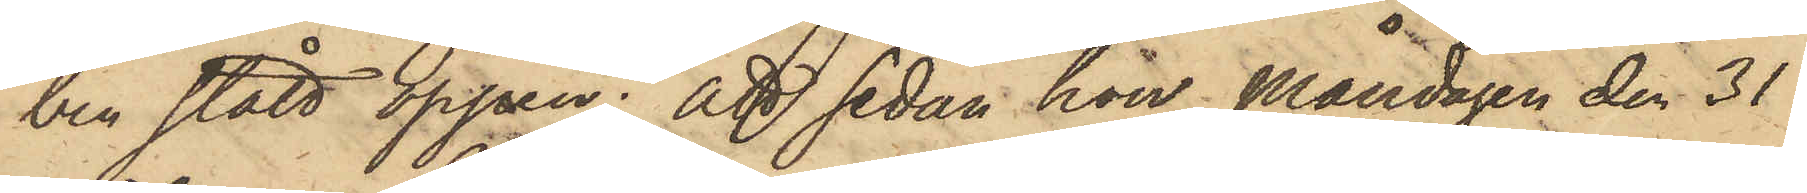ben stått öppen; att sedan hon Måndagen den 31
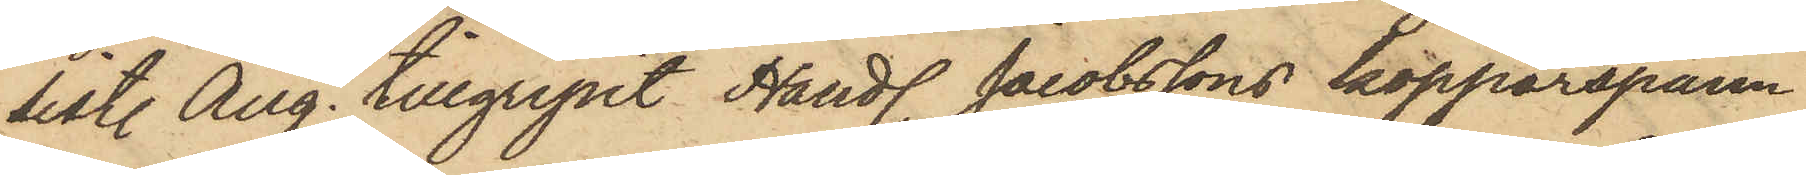sistl. Aug. tillgripit Handl. Jacobssons kopparspann
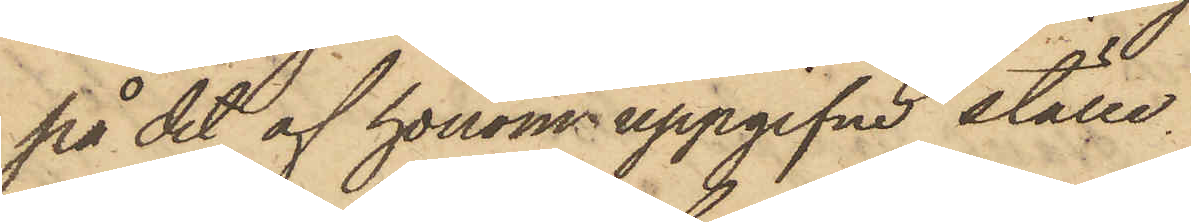på det af honom uppgifne ställe
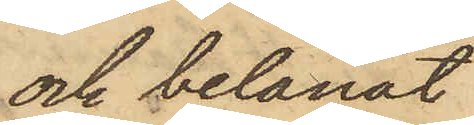och belånat
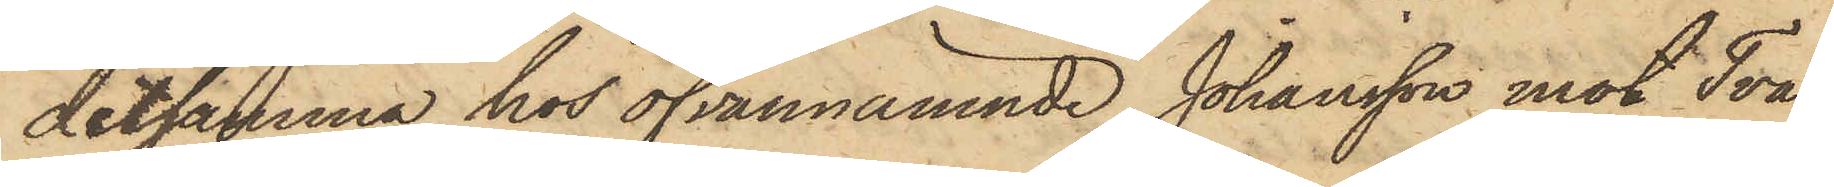detsamma hos ofvannämnde Johansson mot Två
